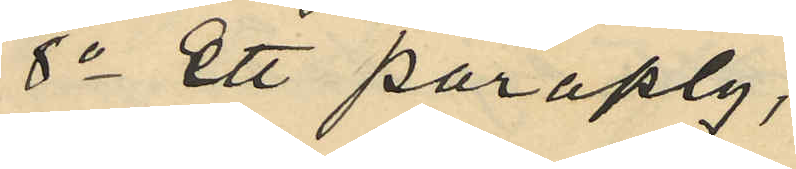8o ett paraply,
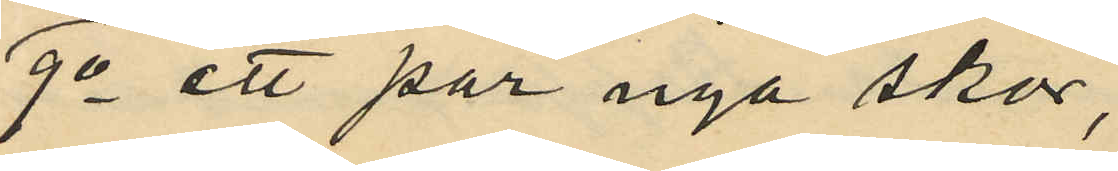9o ett par nya skor,
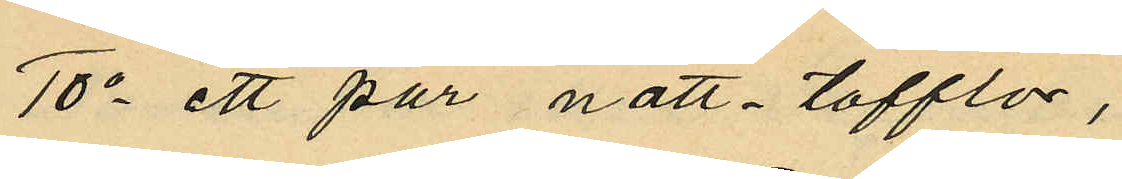10o ett par natt-tofflor,
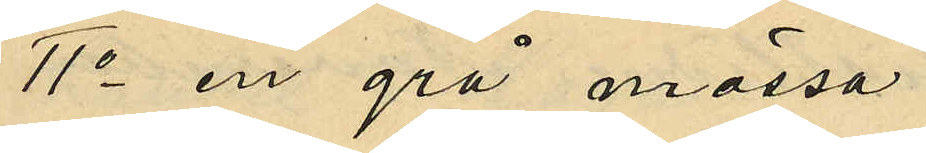11o en grå mössa,
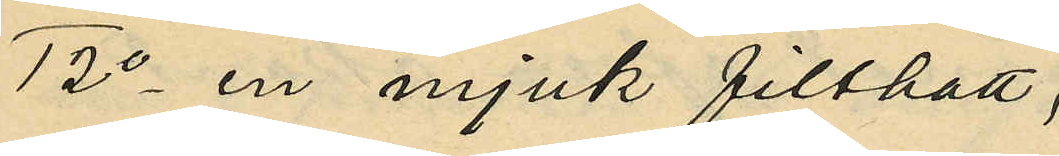12o en mjuk filthatt,
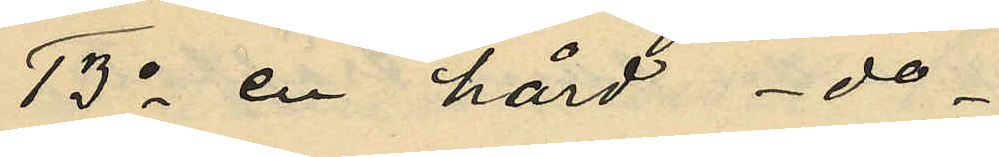13o en hård -do-,
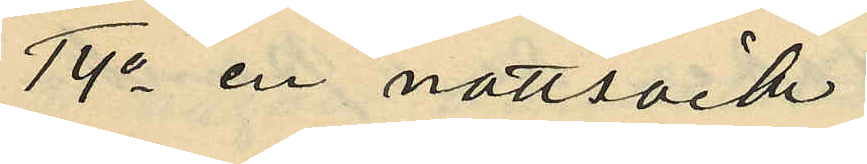14o en nattsäck,
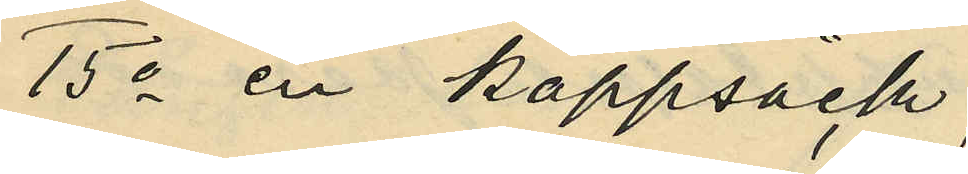15o en kappsäck,
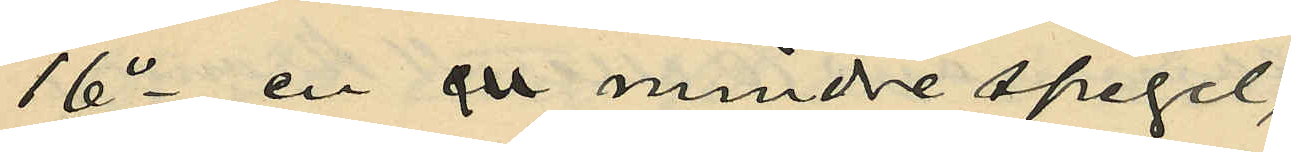16o en en mindre spegel,
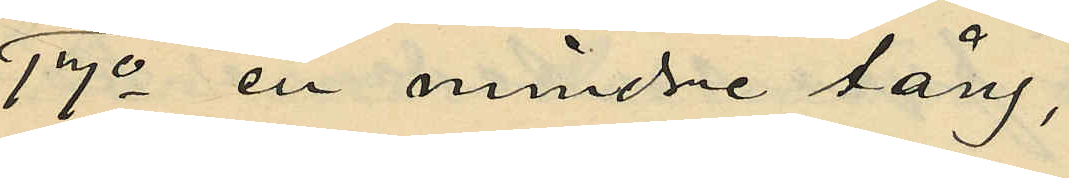17o en mindre tång,
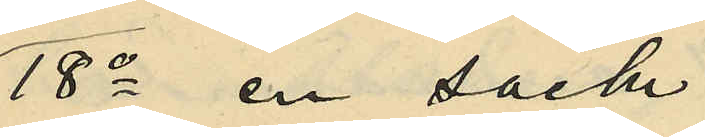18o en säck
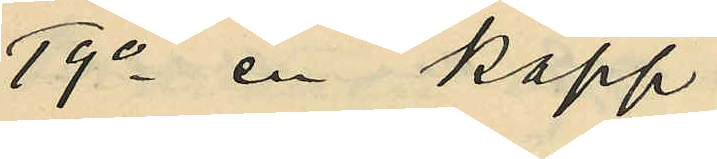19o en käpp
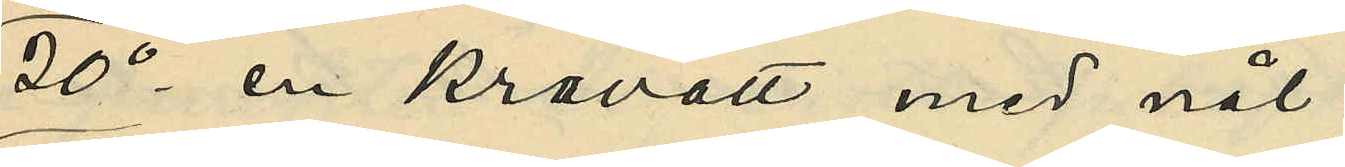20o en kravatt med nål
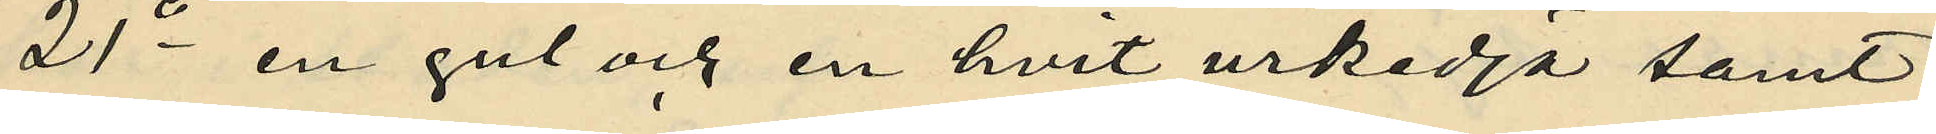21o en gul och en hvit urkedja samt
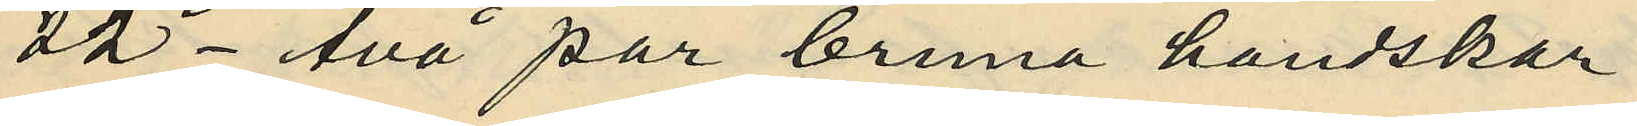22o två par bruna handskar.
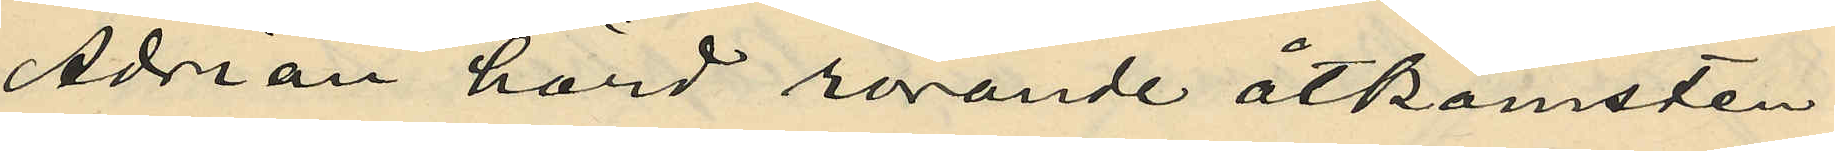Adrian hörd rörande åtkomsten
